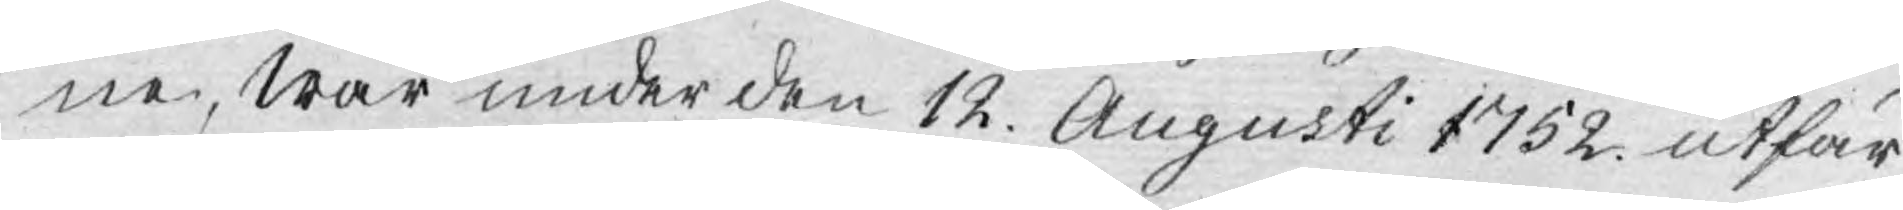ne, Wår under den 12. Augusti 1752. utfär¬
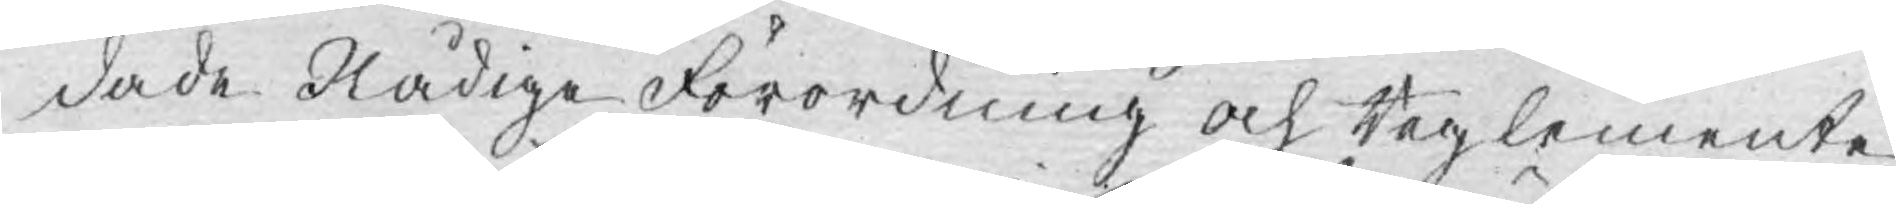dade Nådige Förordning och Reglemente
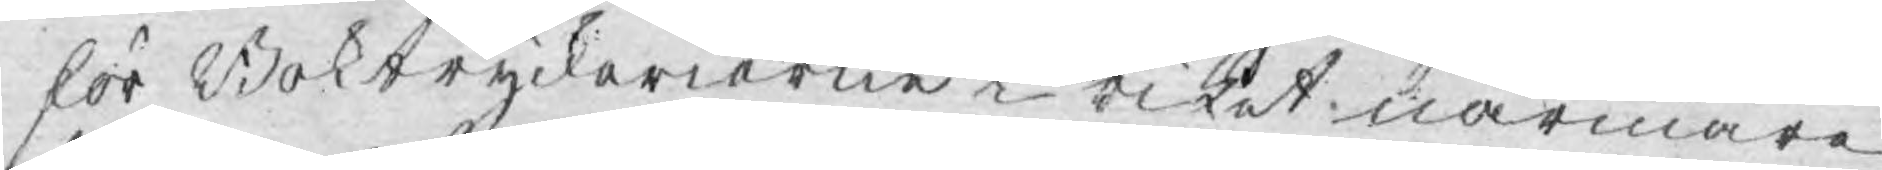för Boktryckerierne i riket närmare
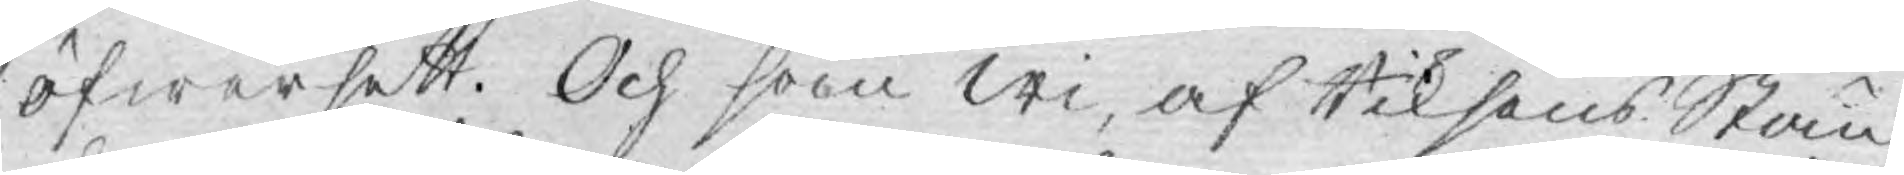öfwersett. Och som Wi, af Riksens Stän¬
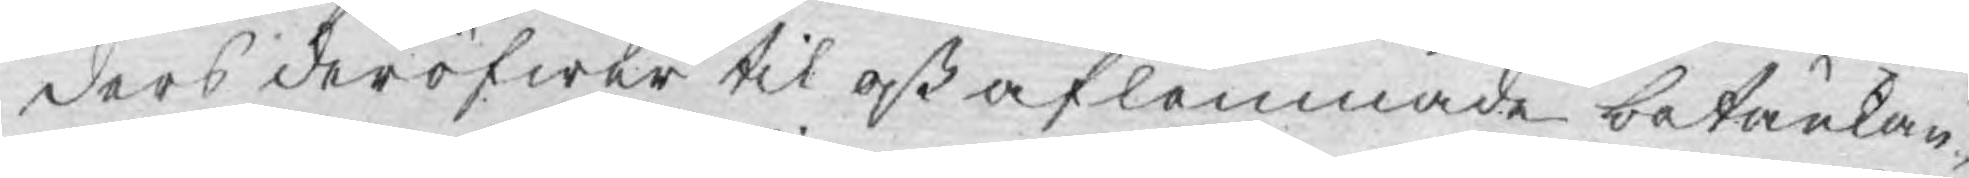ders deröfwer til oß aflemnade betänkan¬
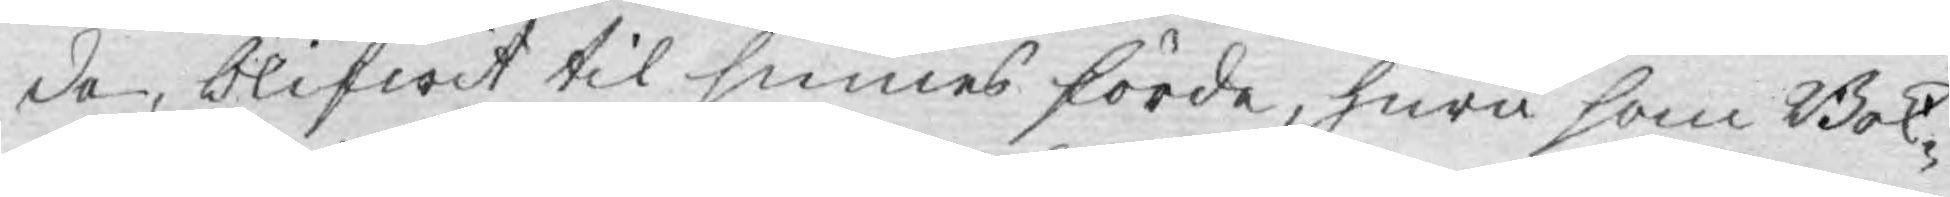de, blifwit til sinnes förde, huru som Bok¬
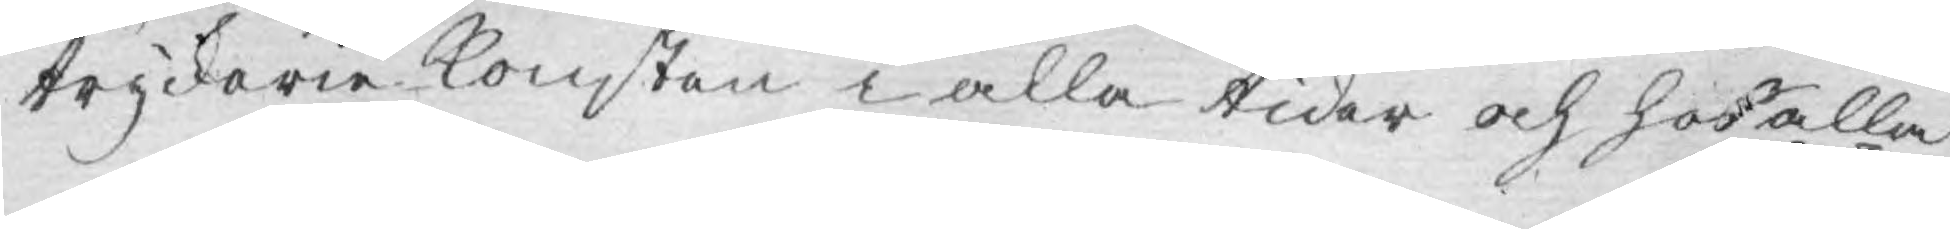tryckerie konsten i alla tider och hos alla
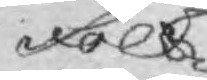Folk
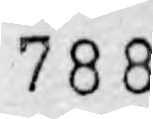780
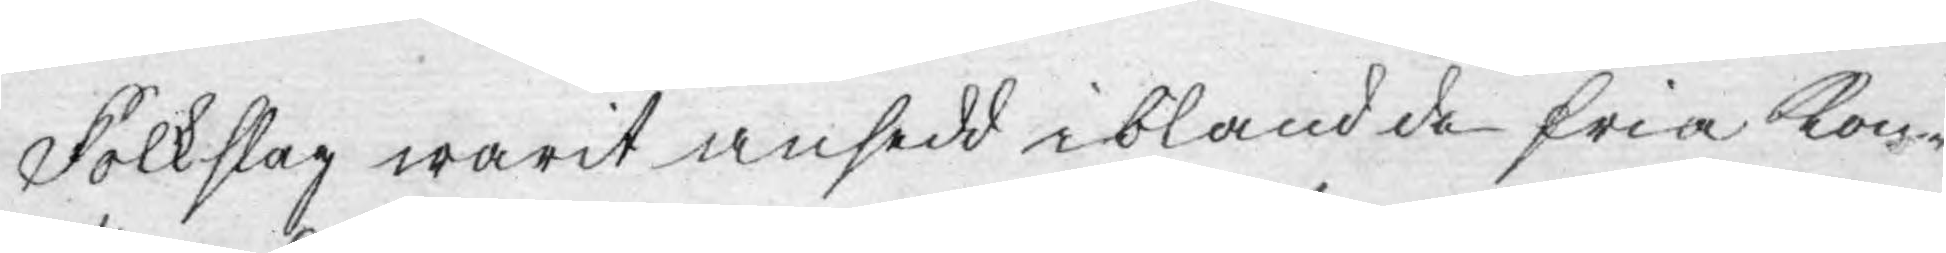Folkslag warit ansedd ibland de fria kon¬
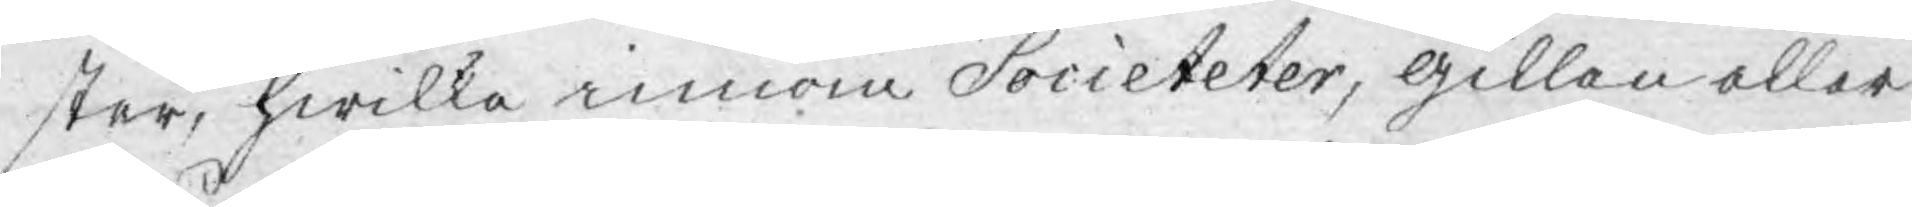ster, hwilka innom Societeter, gillen eller
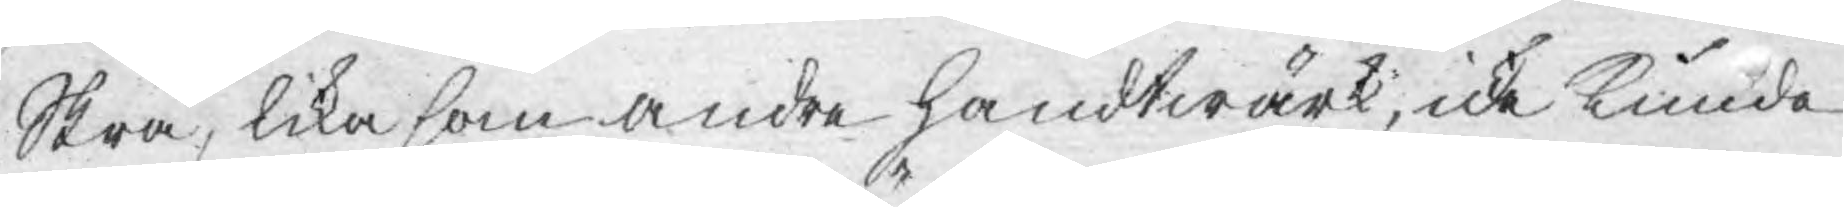Skrå, lika som andre handtwärk, icke kunde
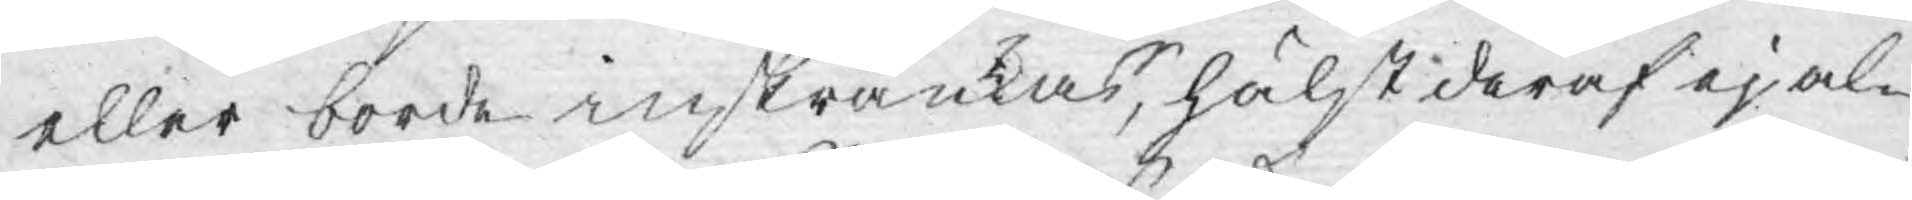eller borde inskränkas, hälst deraf ej al¬
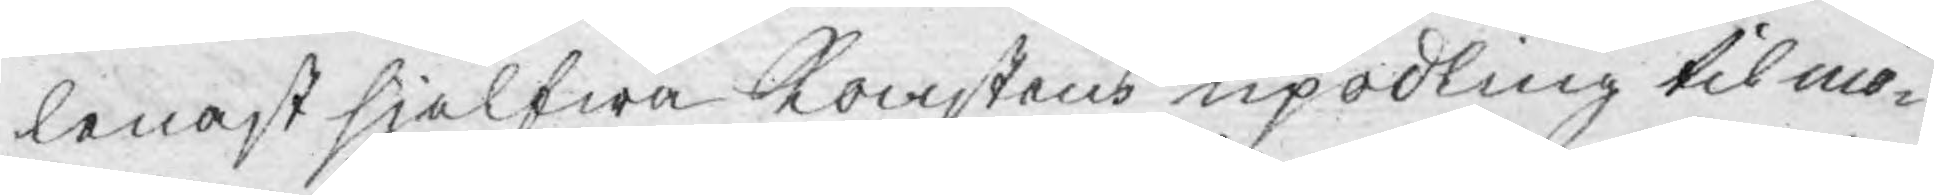lenast sjelfwa Konstens upodling til mö¬
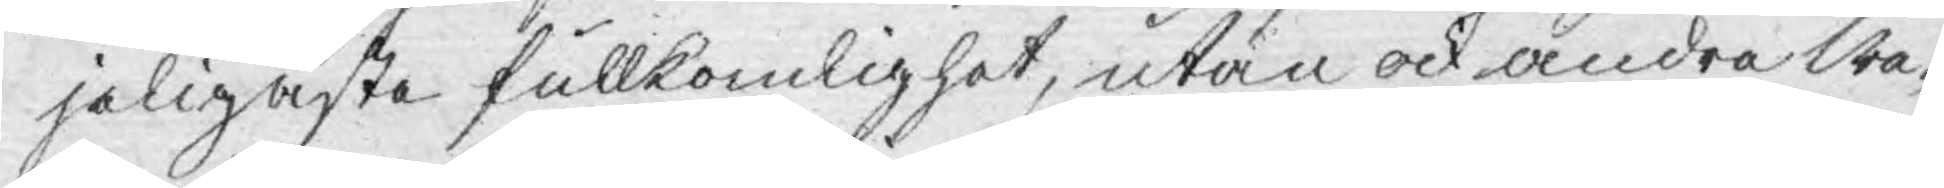jeligaste fullkomlighet, utan ock andra We¬
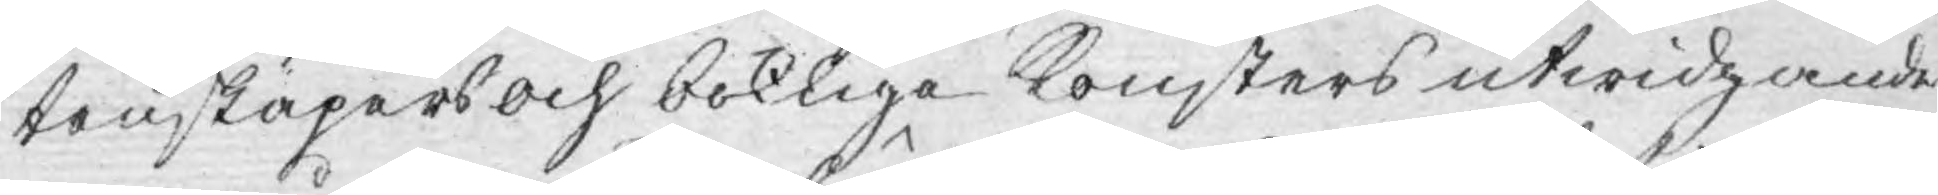tenskapers och bokliga Konsters utwidgande
